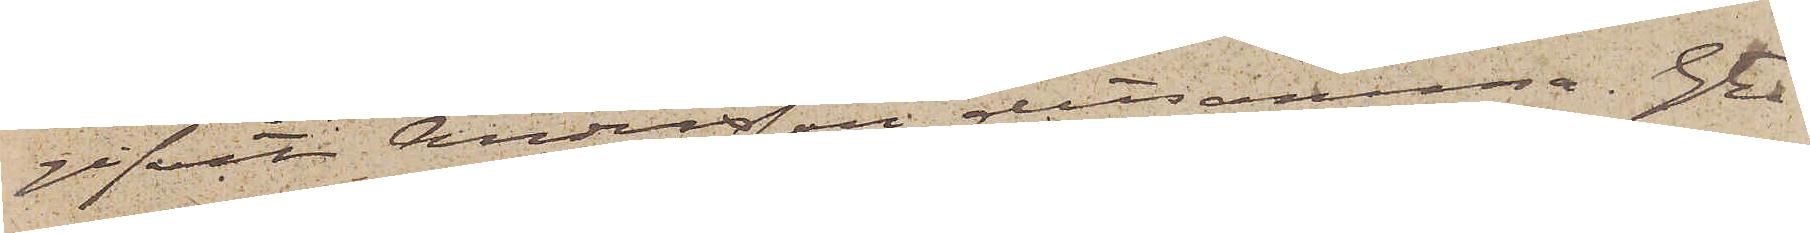gifvit Andersson detsamma. Gtbg
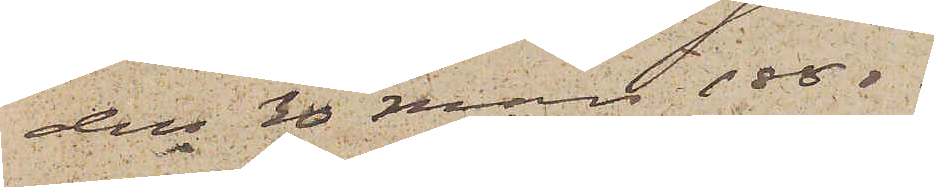den 30 Mars 1880.
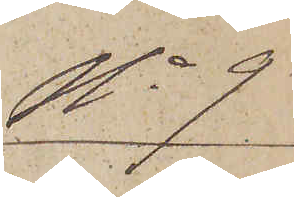No 9
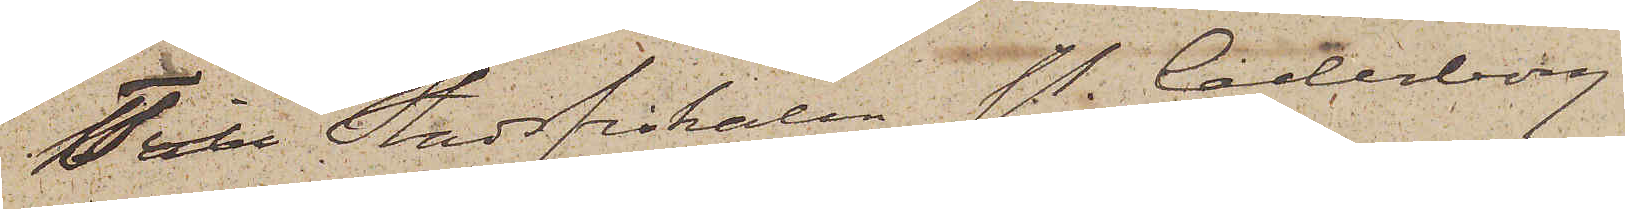Till Stadsfiskalen P. Cederborg
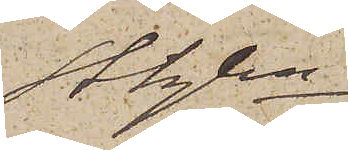Sthlm
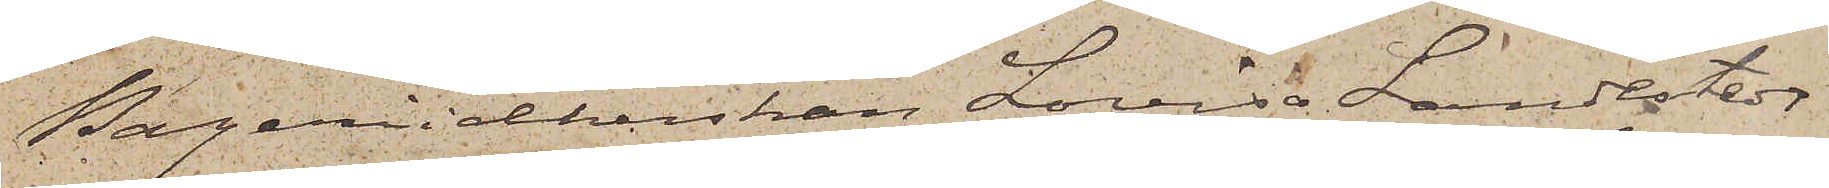Bageriidkerskan Lovisa Lindstedt
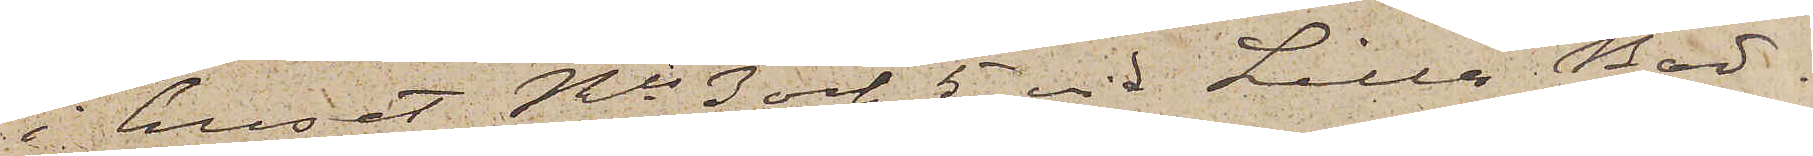i huset Nis 3 och 5 vid Lilla Bad¬
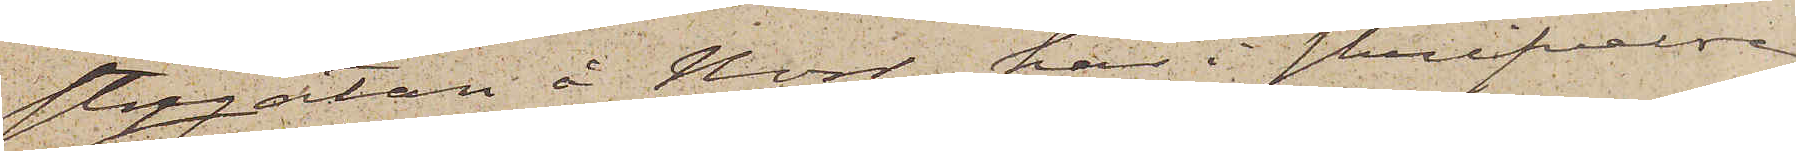stugatan å Norr har i skrifvelse
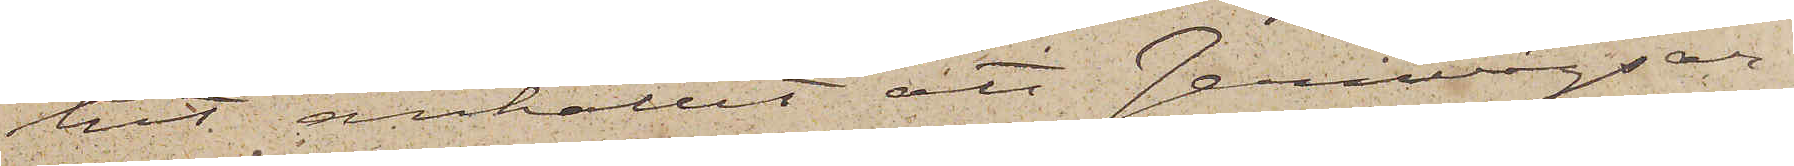hit anhållit att Jernvägsar¬
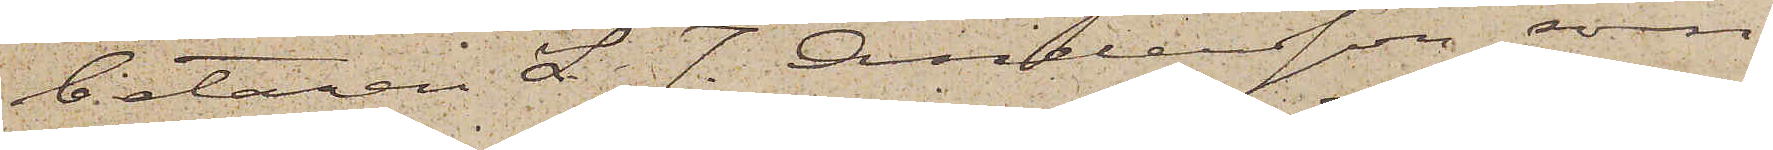betaren L. J. Andersson, som
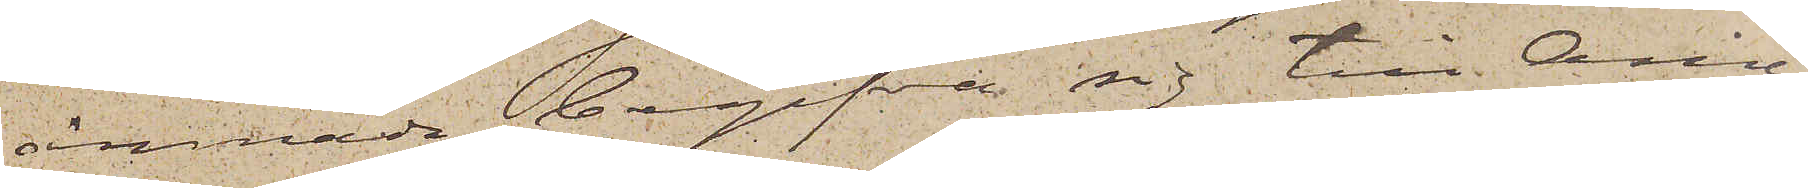ämnade begifva sig till Ame¬
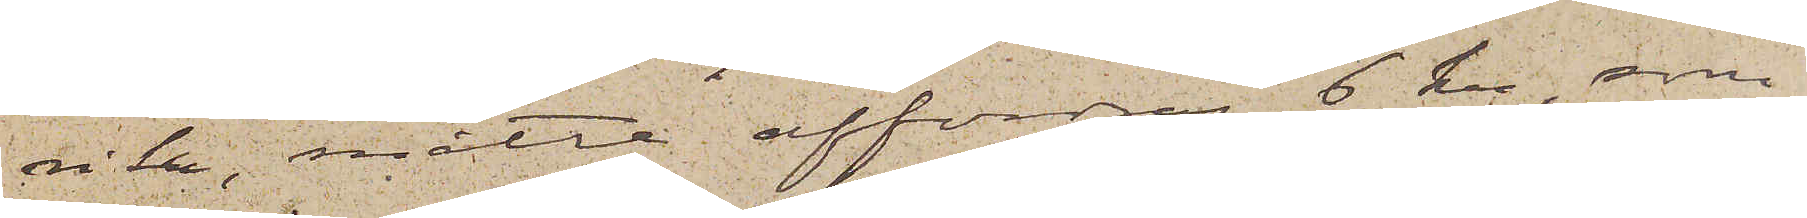rika, måtte affordras 6 kr, som
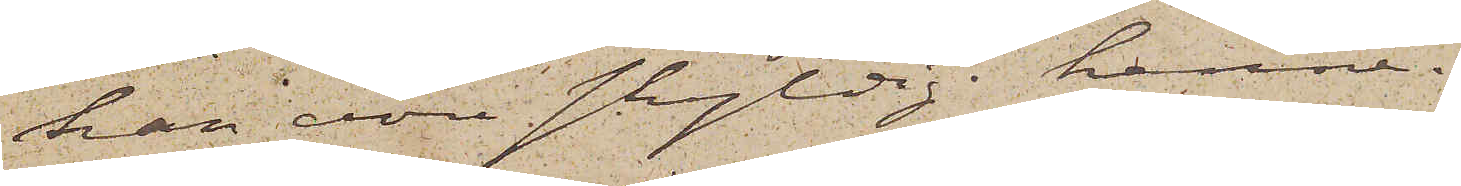han vore skyldig henne.
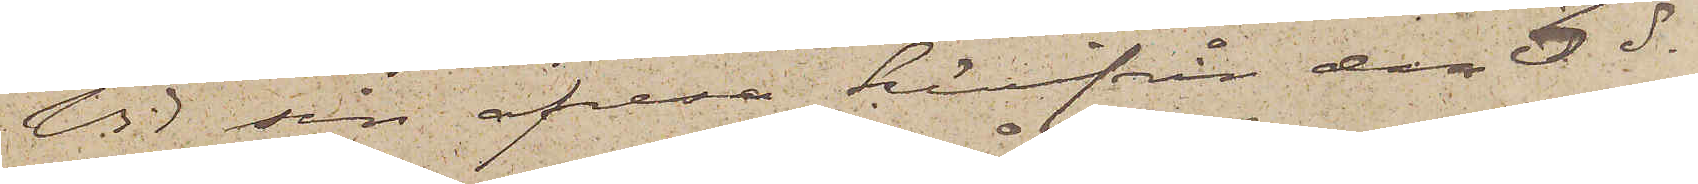Vid sin afresa härifrån den  3 ds
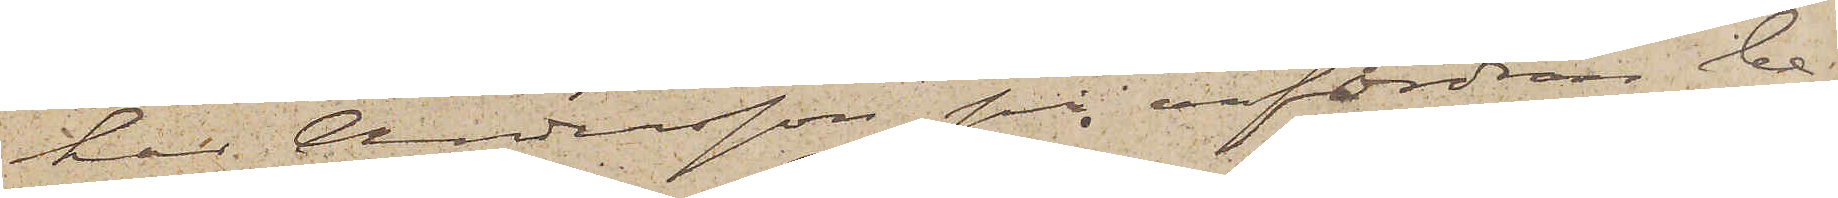har Andersson på anfordran be¬
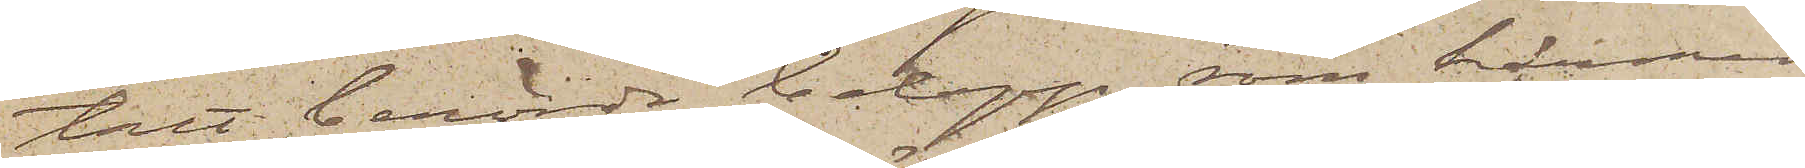talt berörde belopp, som härmed
